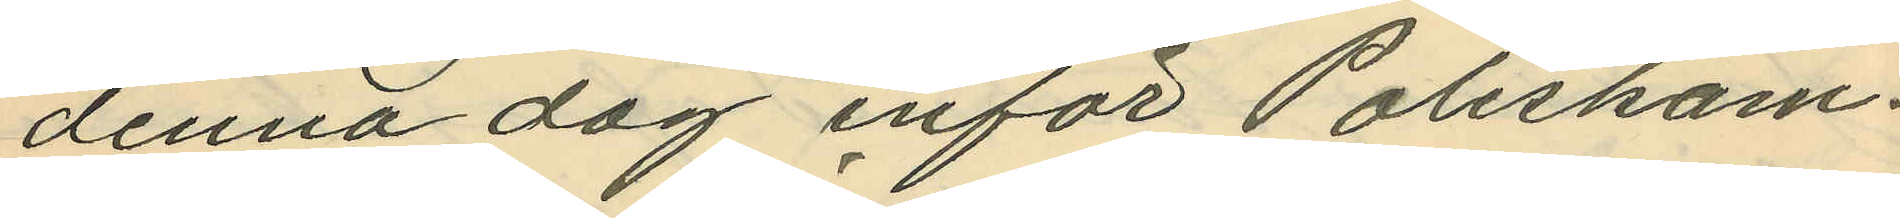denna dag inför Poliskam¬
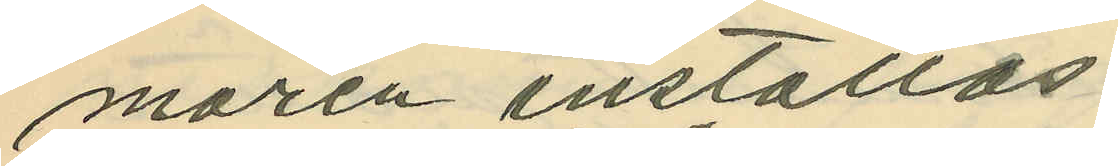maren inställas
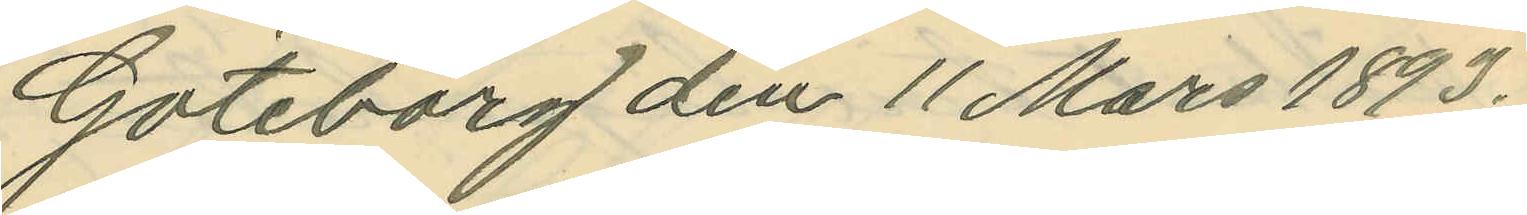Göteborg den 11 Mars 1893.
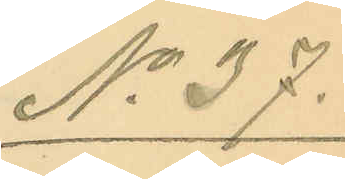No 37.
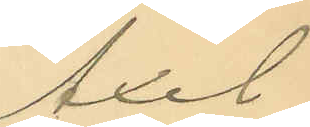Axel
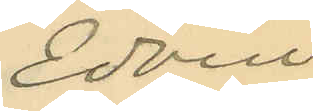Edvin
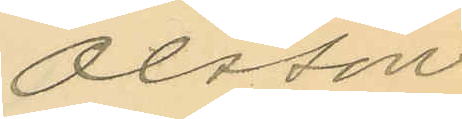Olsson
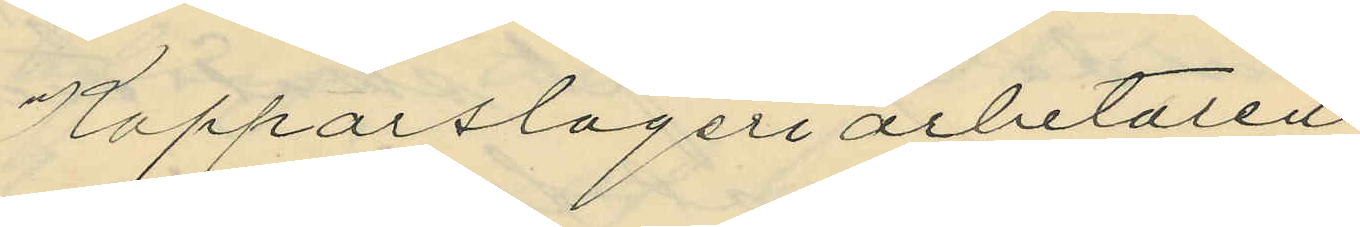Kopparslageriarbetaren
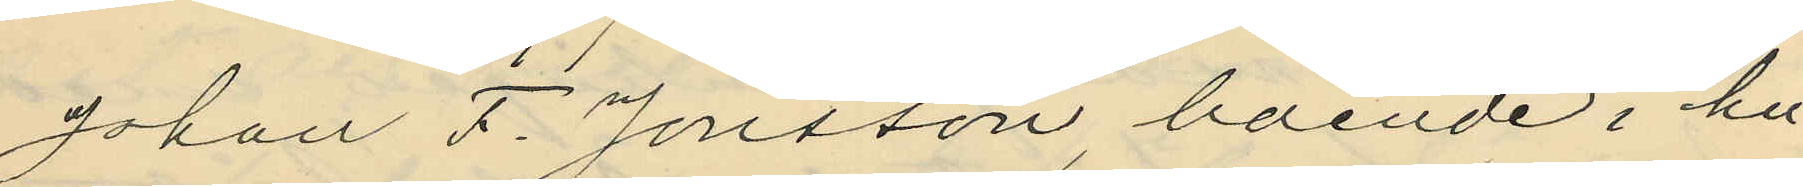Johan F. Jonsson, boende i hu¬
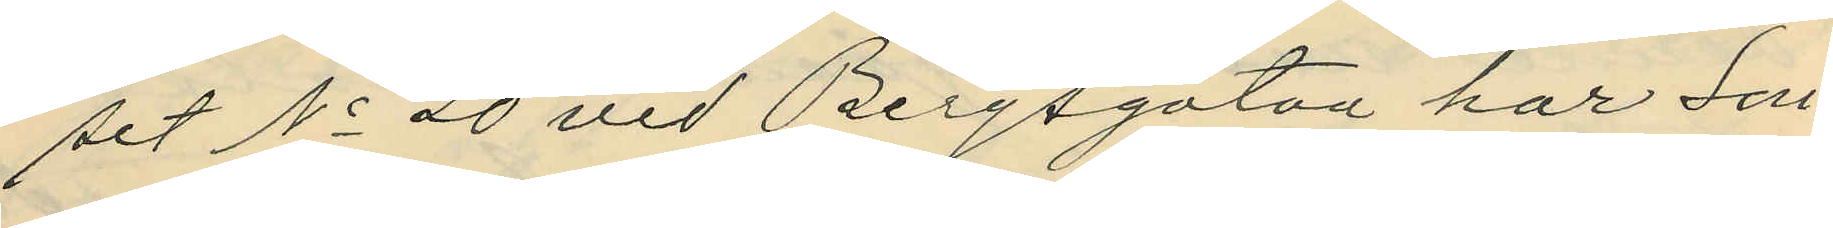set No 20 vid Bergsgatan har Sön¬
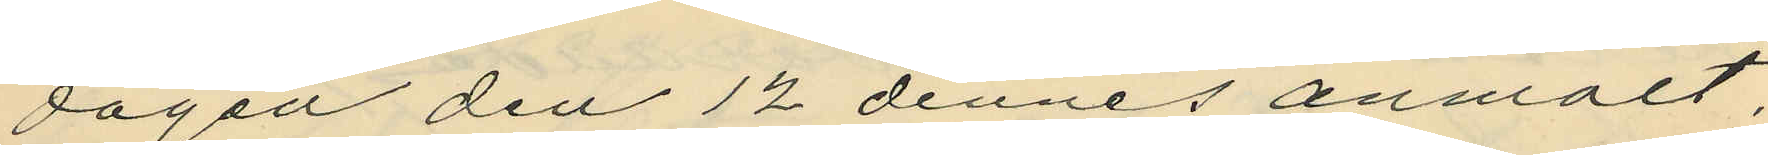dagen den 12 dennes anmält,
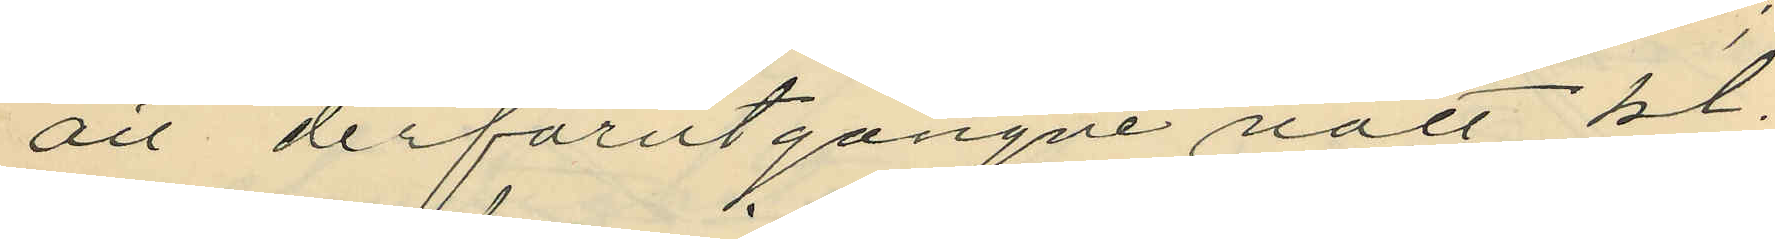att derförutgångne natt kl.
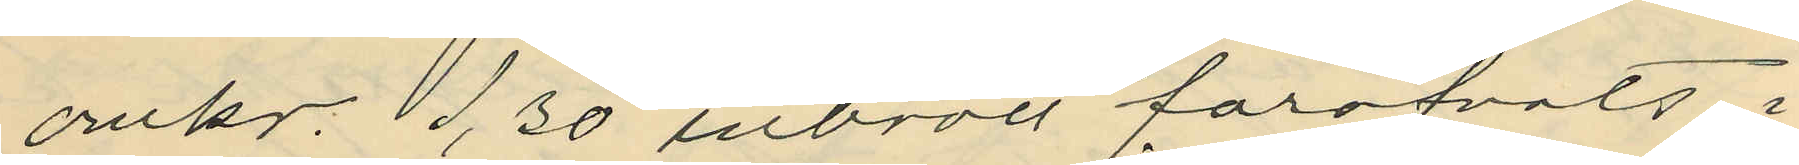omkr. 1,30 inbrott föröfvats i
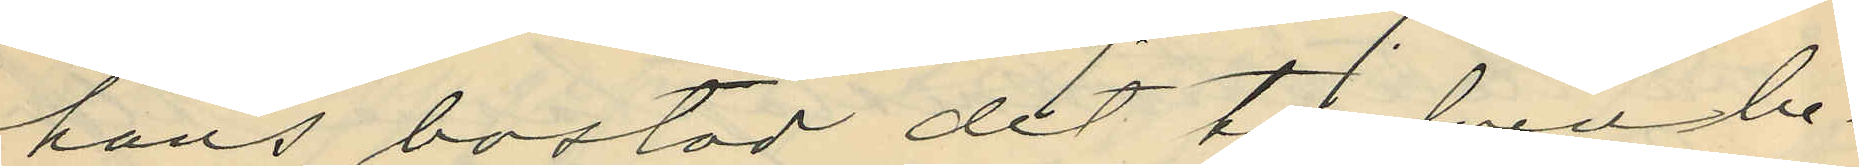hans bostad dit tjufven be¬
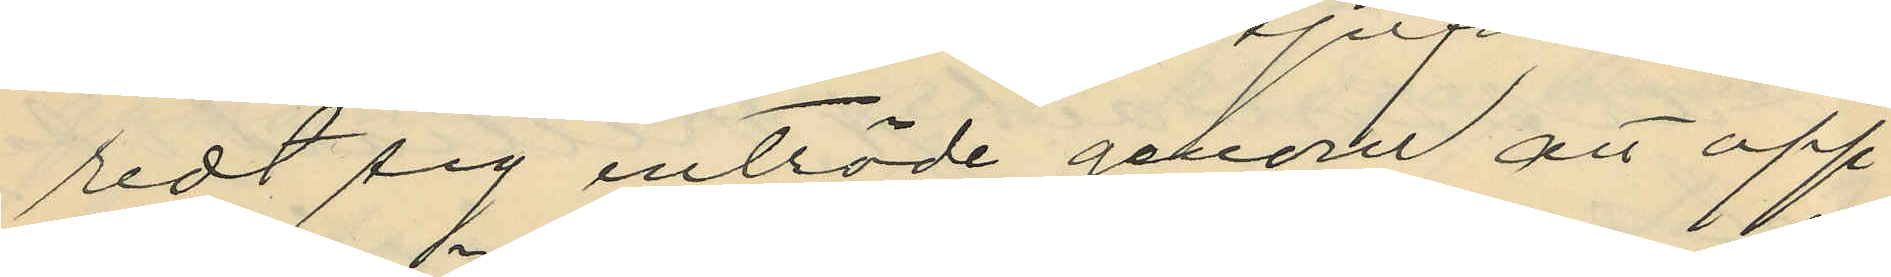redt sig inträde genom att öpp¬
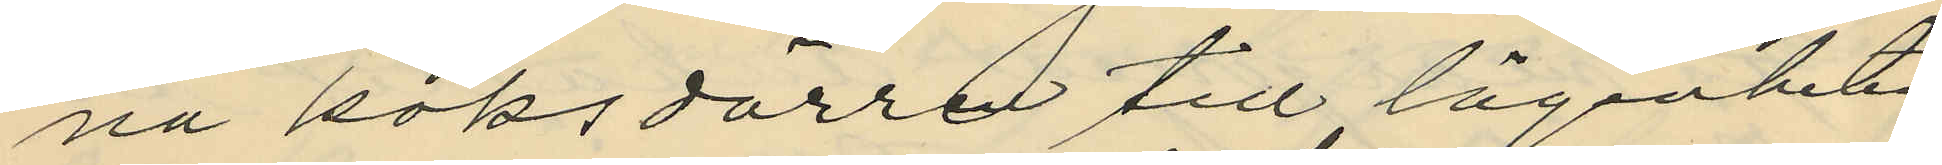na köksdörren till lägenheten
